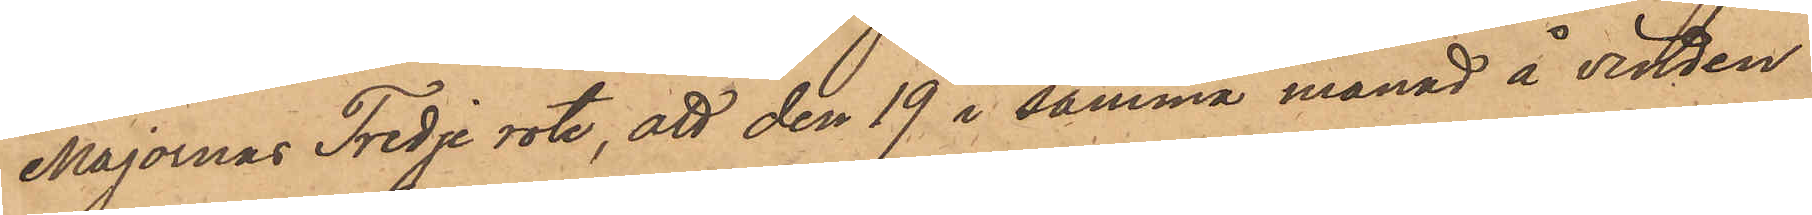Majornas Tredje rote, att den 19 i samma månad å vinden
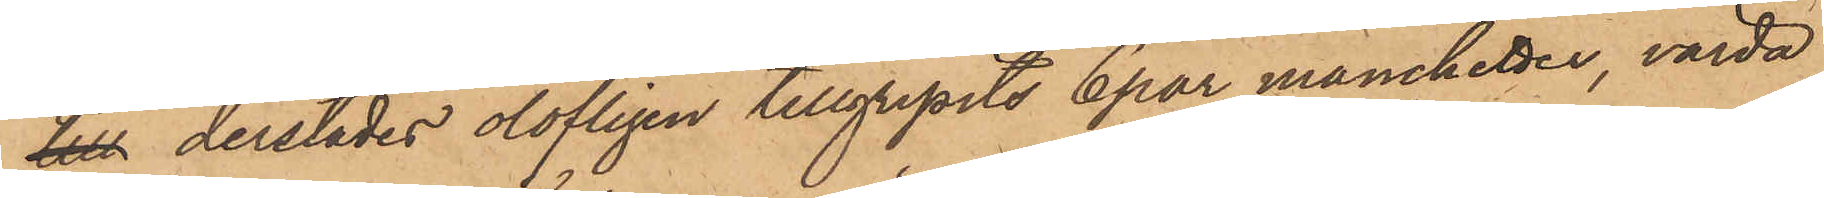till derstädes olofligen tillgripits 6 par manchetter, värda
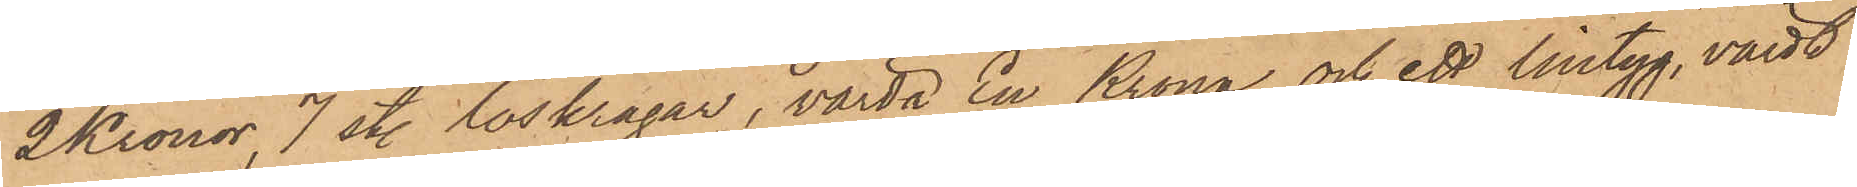2 Kronor, 7 st. löskragar, värda En Krona och ett lintyg, värdt
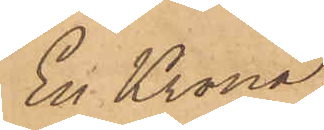En Krona;
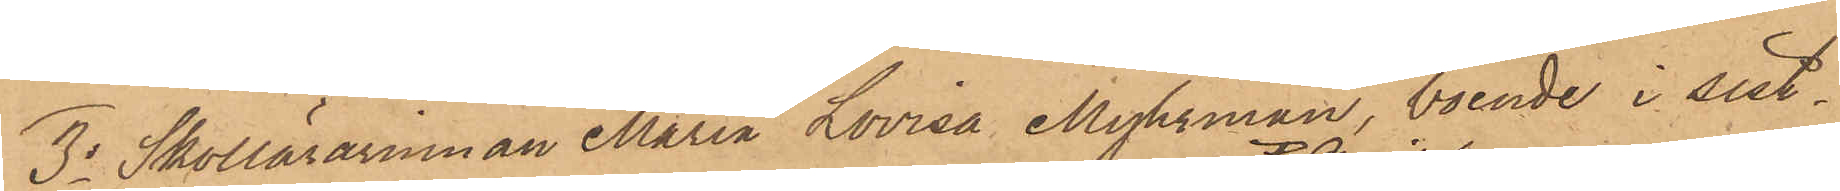3o Skollärarinnan Maria Lovisa Myhrman, boende i sist¬
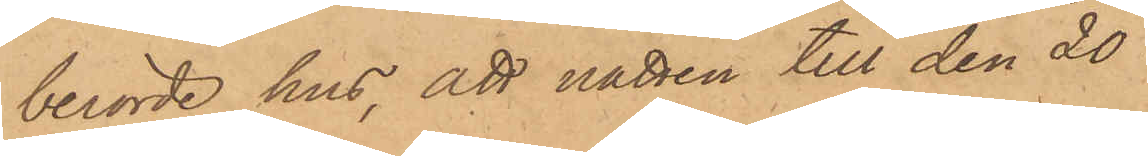berörde hus, att natten till den 20
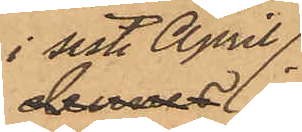i sistl. April
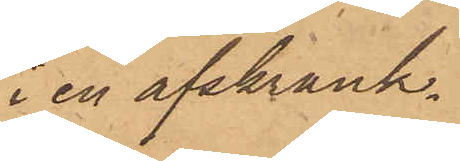i en afskrank¬
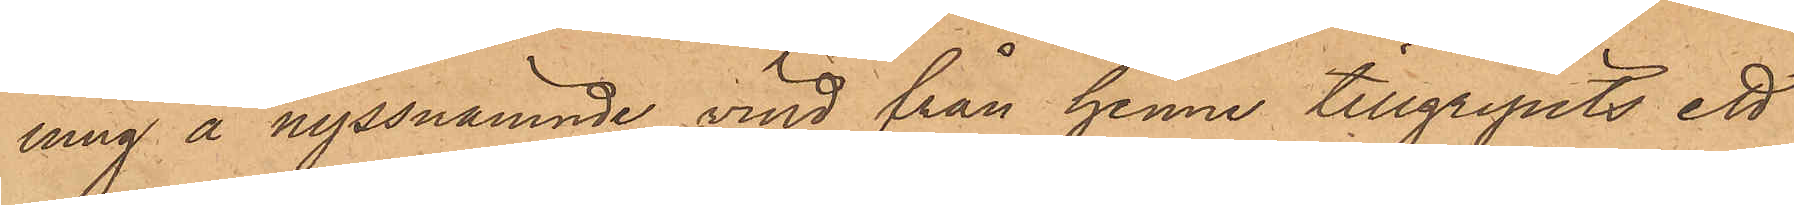ning å nyssnämnde vind från henne tillgripits ett
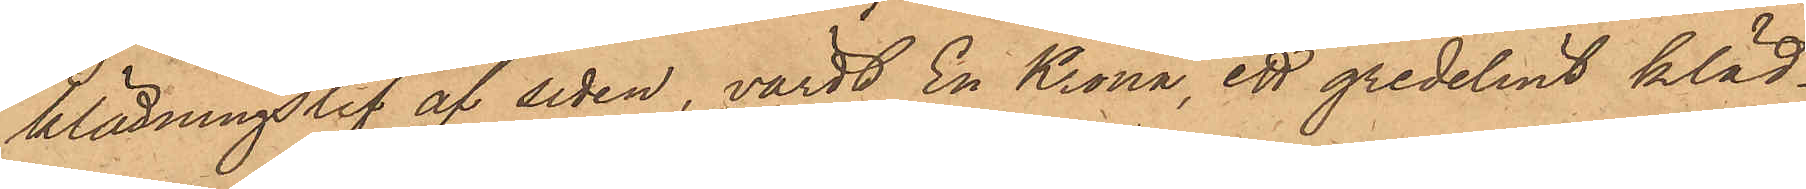klädningslif af siden, värdt En Krona, ett gredelint kläd¬
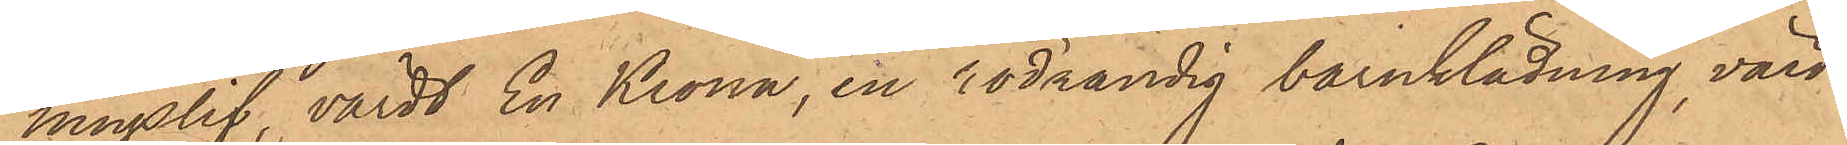ningslif, värdt En Krona, en rödrandig barnklädning, värd
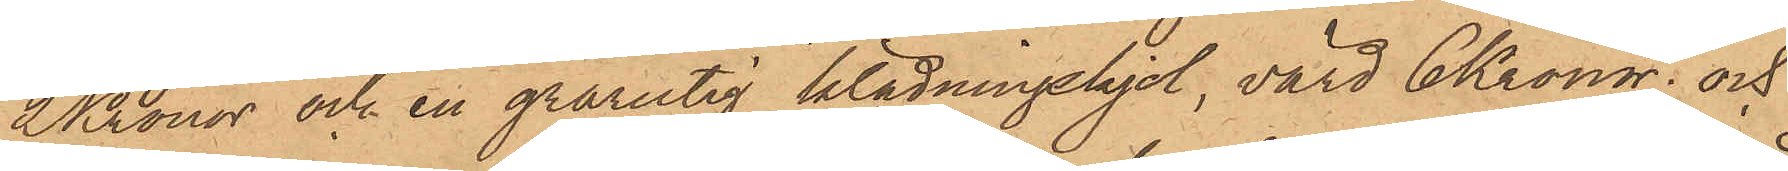2 Kronor och en grårutig klädningskjol, värd 6 Kronor; och
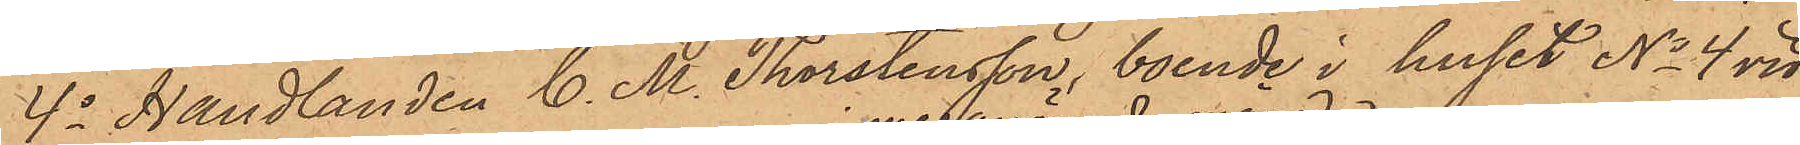4o Handlanden C. M. Thorstensson, boende i huset No 4 vid
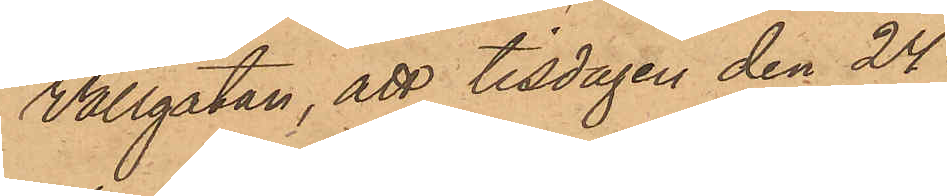Vallgatan, att tisdagen den 24
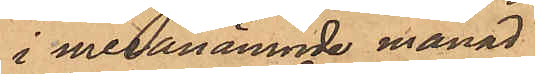i meranämnde månad
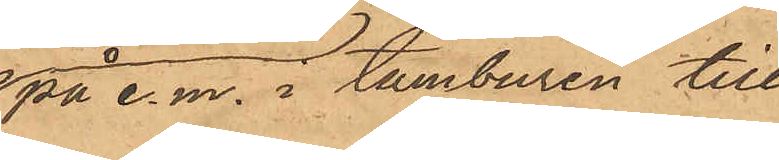på e. m. i tamburen till
